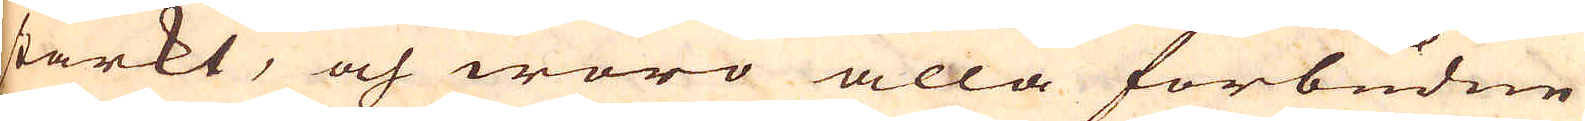starkt, och woro alla förbudne
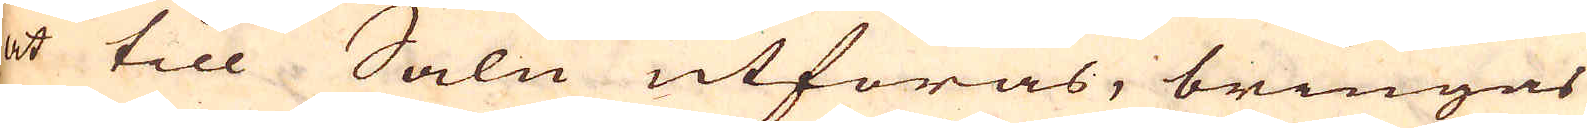at till Salu utföras, bringas
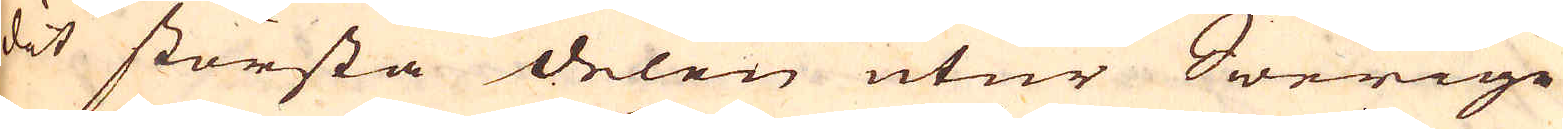dit största delen utur Swerige
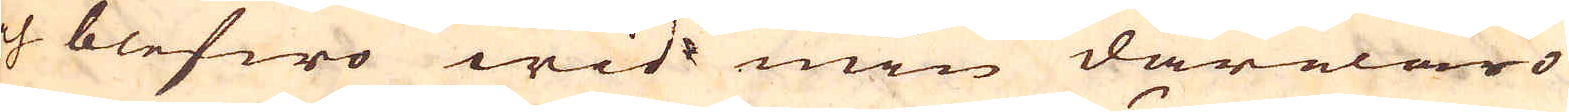och blefwo wid min därwaro
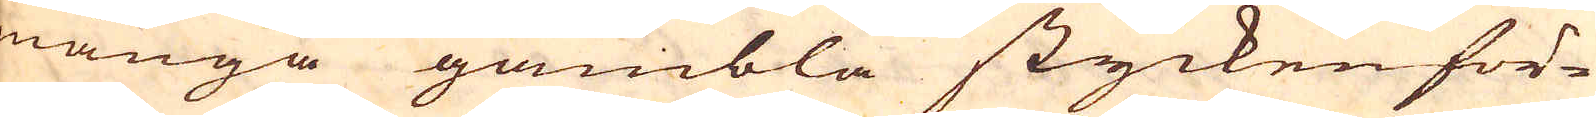många gambla stycken för-
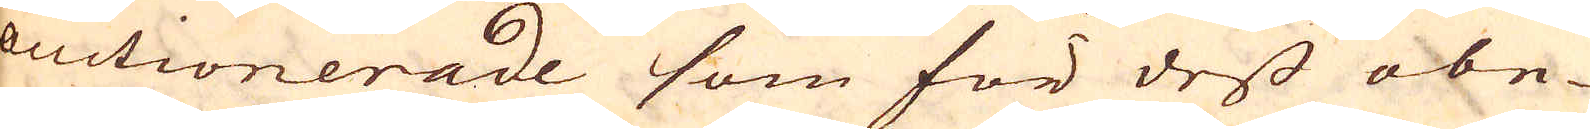auctionerade som för dess obe-
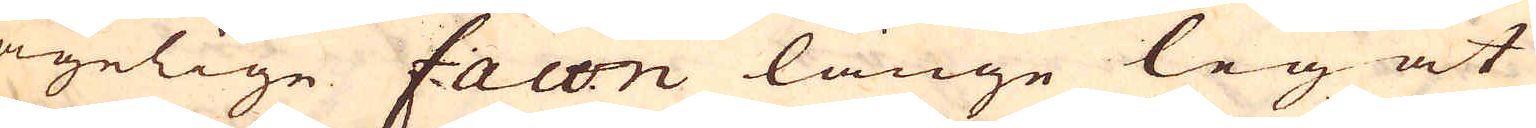hagelige facon länge legat
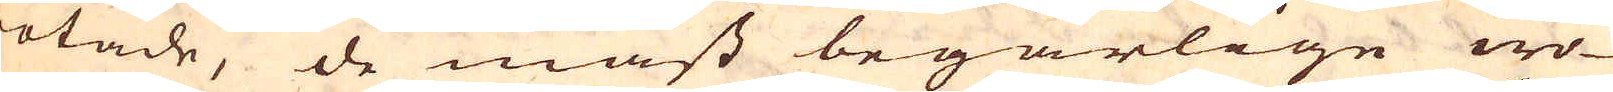rotade, de mäst begärlige wo-
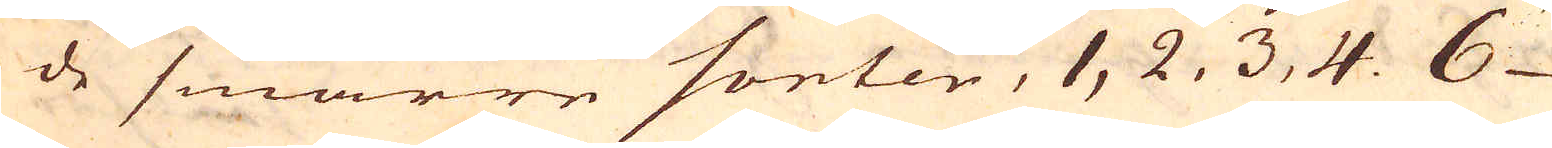ro de smärre sorter, 1, 2, 3, 4. 6
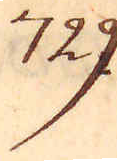729.
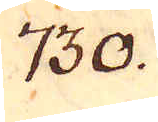730.
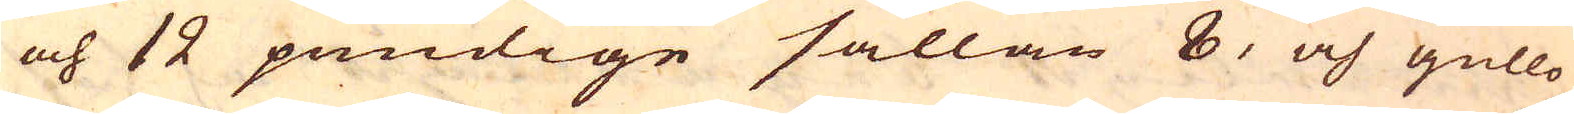och 12 pundige sällan 8, och gullo
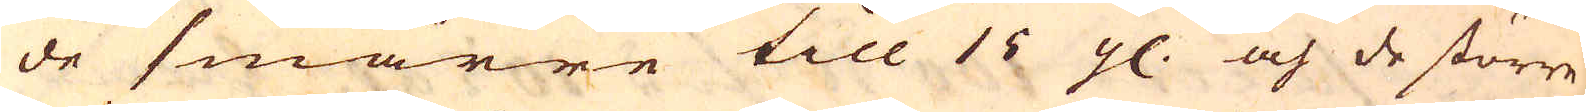de smärre till 15 g. och de större
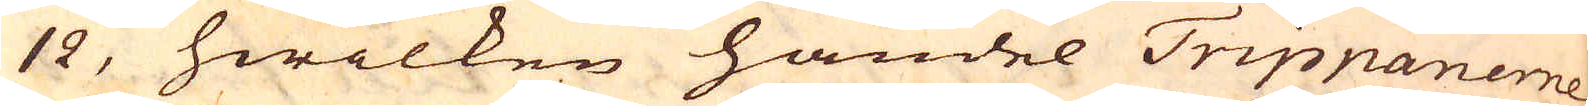12, hwilken handel Trippanerne
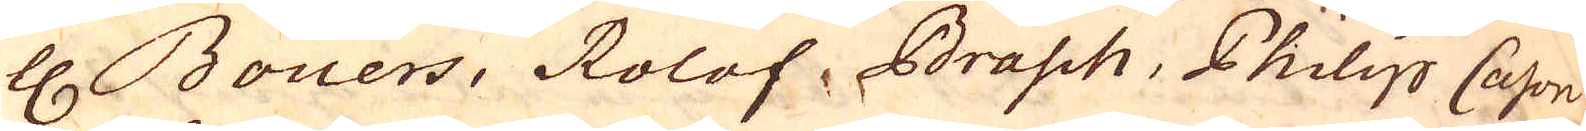H. Bouers, Rolof, Brasch, Philip Cason
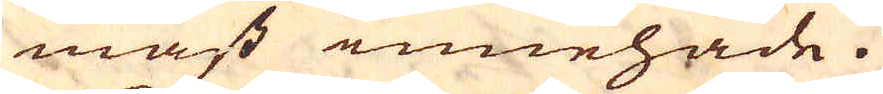mäst innehade.
